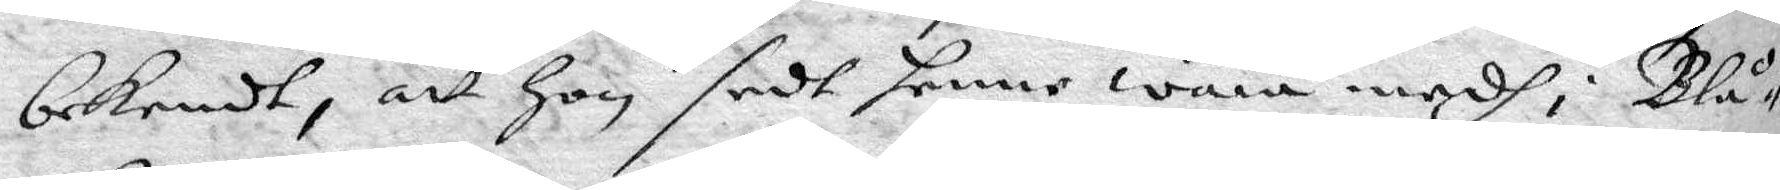bekendt, att hon sedt henne wara medh i Blå¬
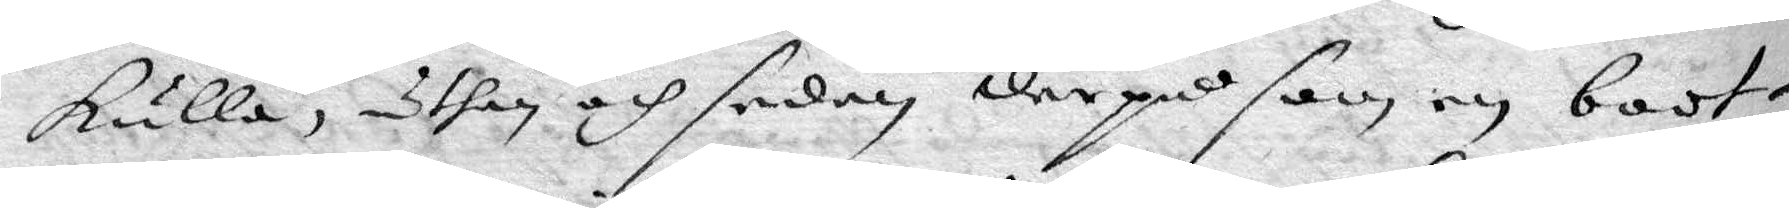kulla, uthan och sedan derpå som en boot¬
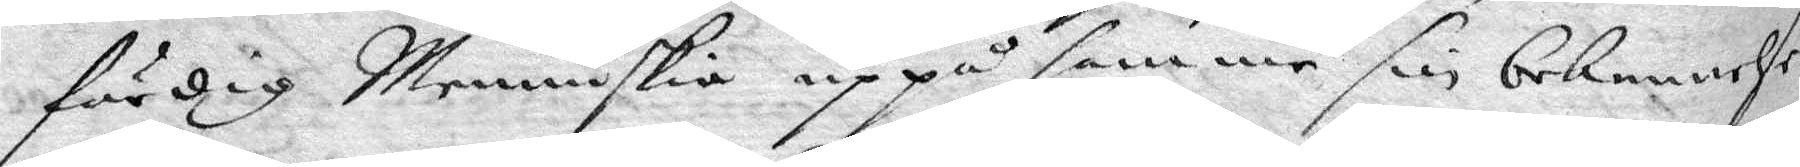färdig Menniskia uppå samme sin bekennelse
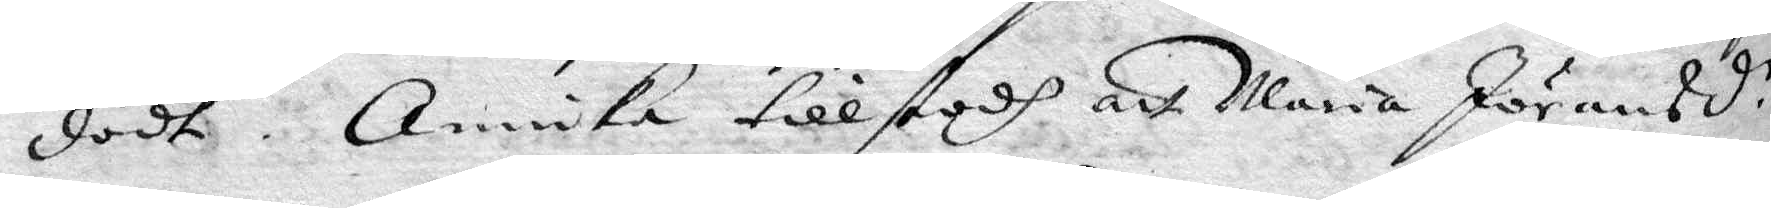dödt. Annika tillstodh att Maria Jöransd.r
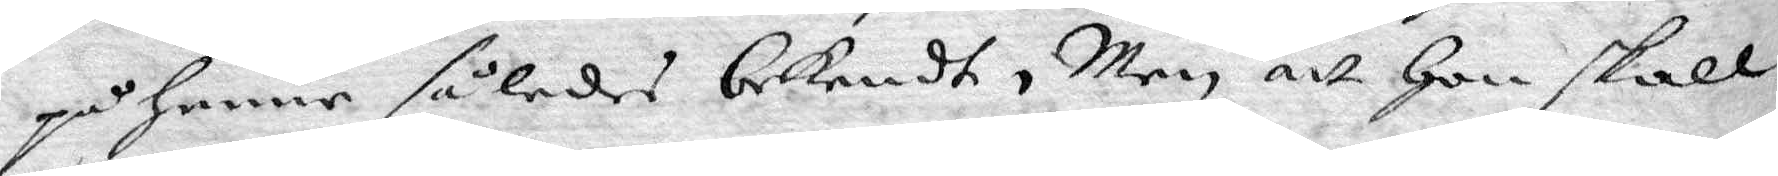på henne spledes bekendt, Men att hon skall
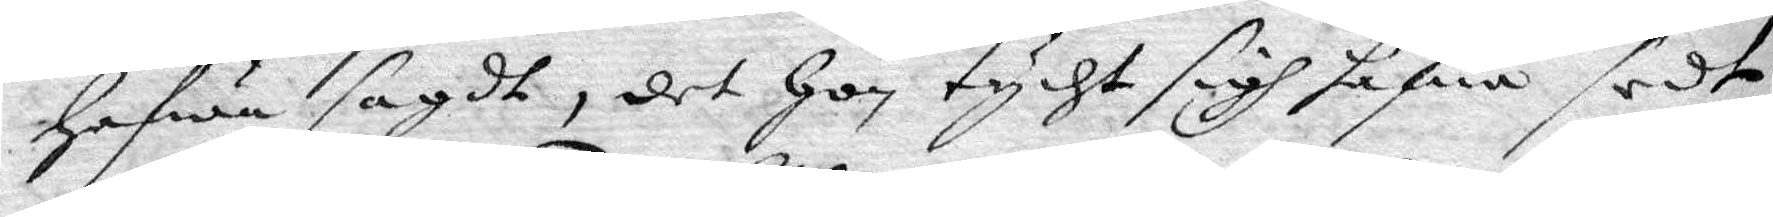hafwa sagdt, det hon tycht sigh hafwa sedt
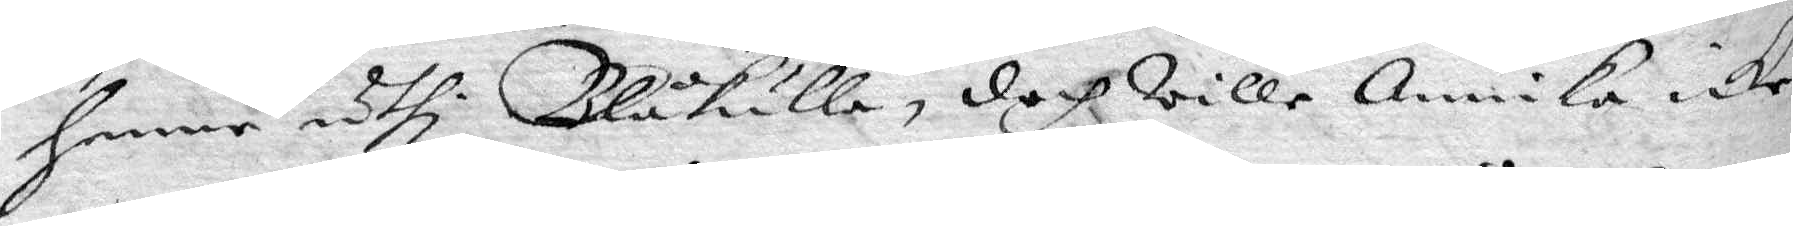henne uthi Blåkulla, doch wille Annika icke
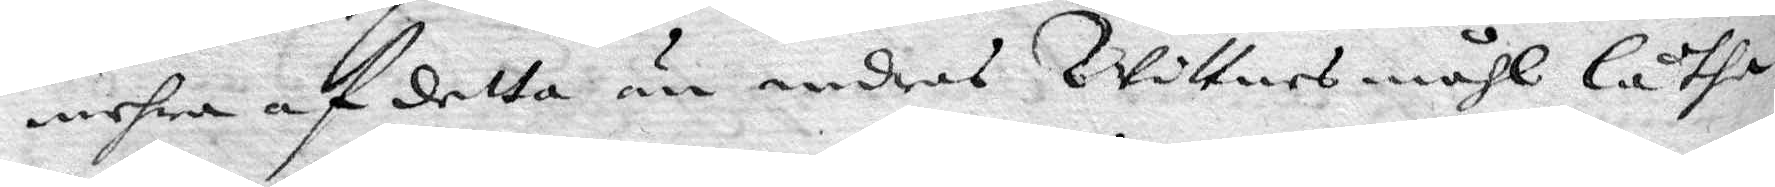mehra af detta än andres Wittnesmåhl låtha
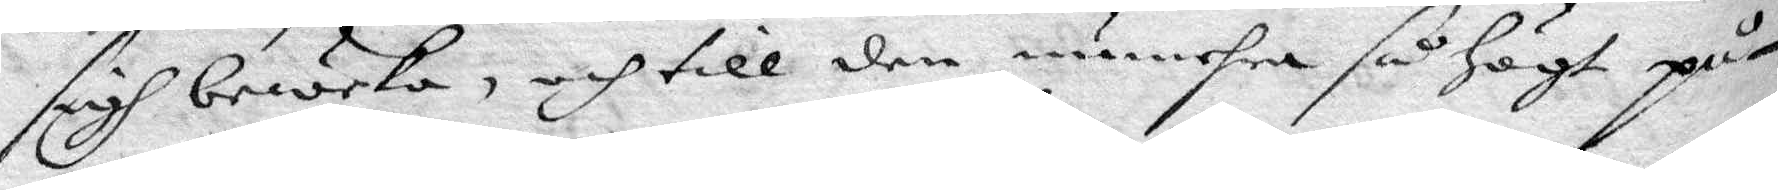sigh beweka, och till den numehra så högt på¬
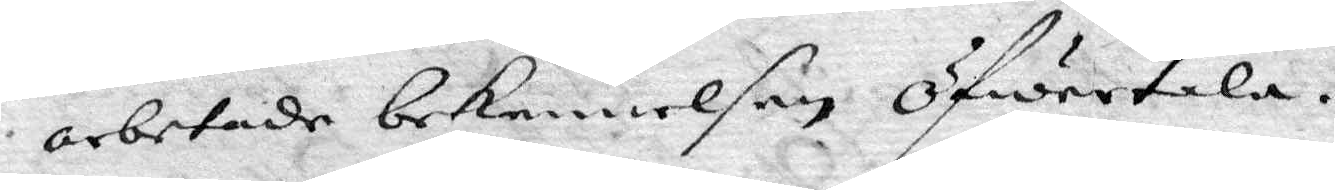arbetade bekennelsen öfwertala.
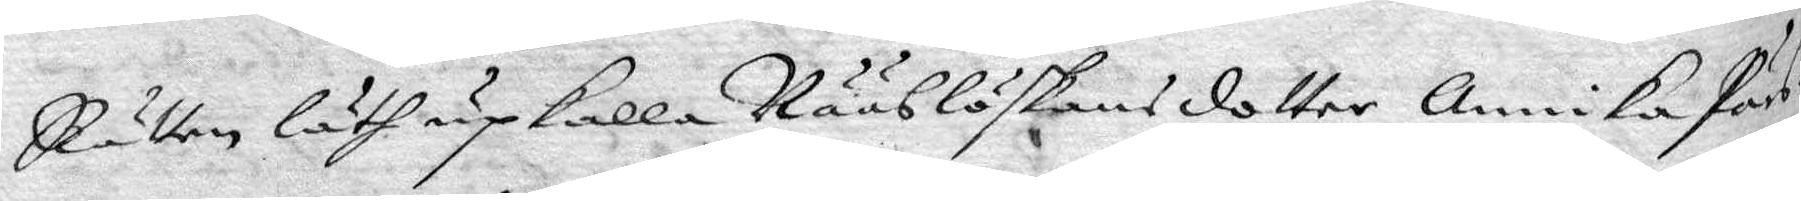Rätten läth upkalla Nääslöskans dotter Annika Pärs¬
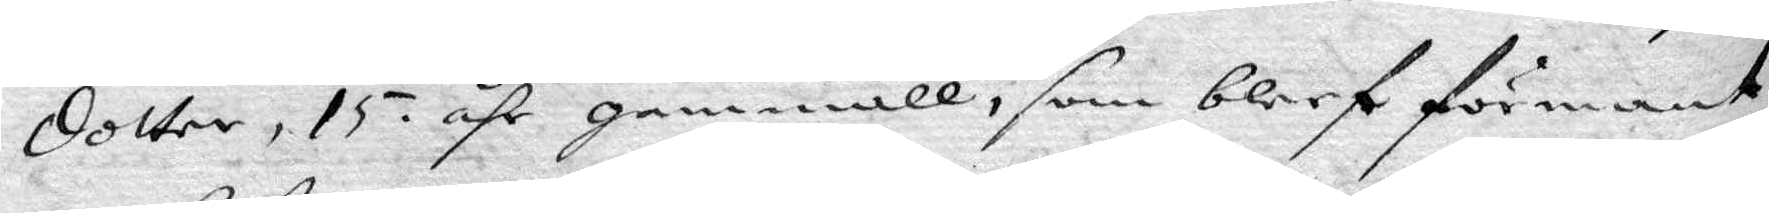dotter, 15 åhr gammal, som bleef förmant
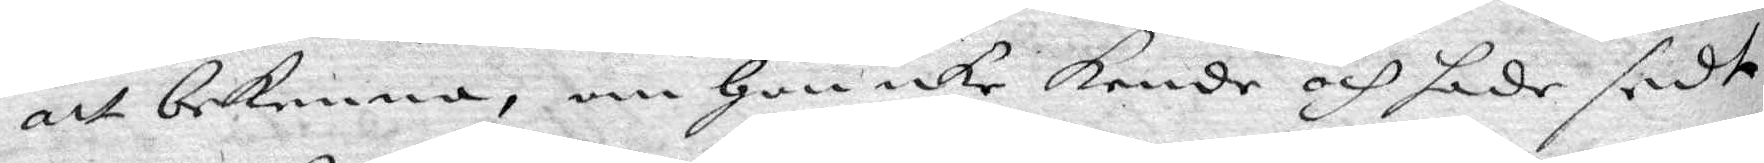att bekenna, om hon icke kende och hade sedt
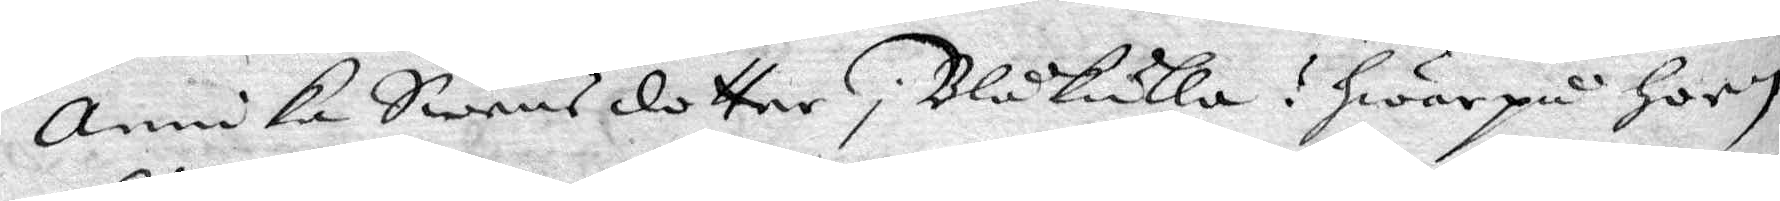Annika Swensdotter i Blåkulla? hwarpå hoon
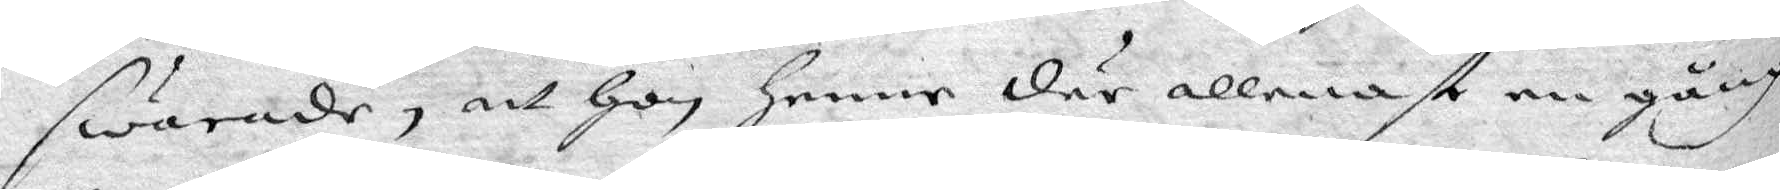swarade, att hon henne där allenast en gång
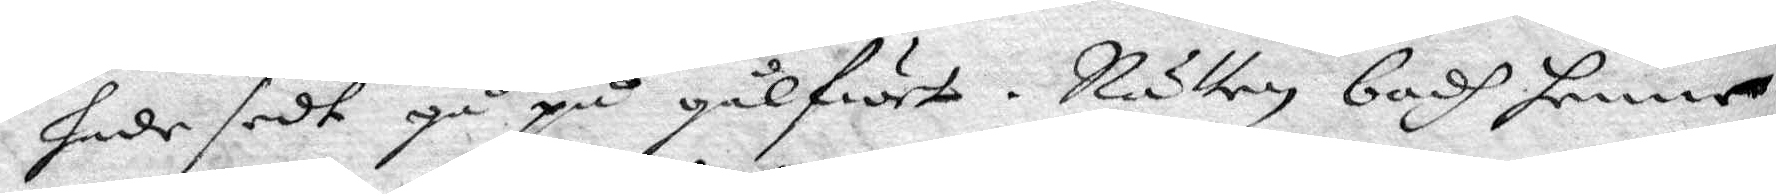hade sedt gå på gålfwet. Rätten badh henne
